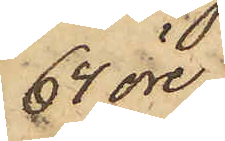64 öre
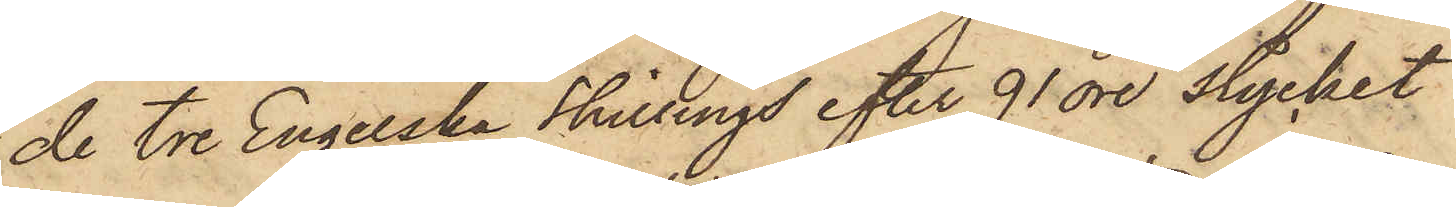de tre Engelska Shillings efter 91 öre stycket
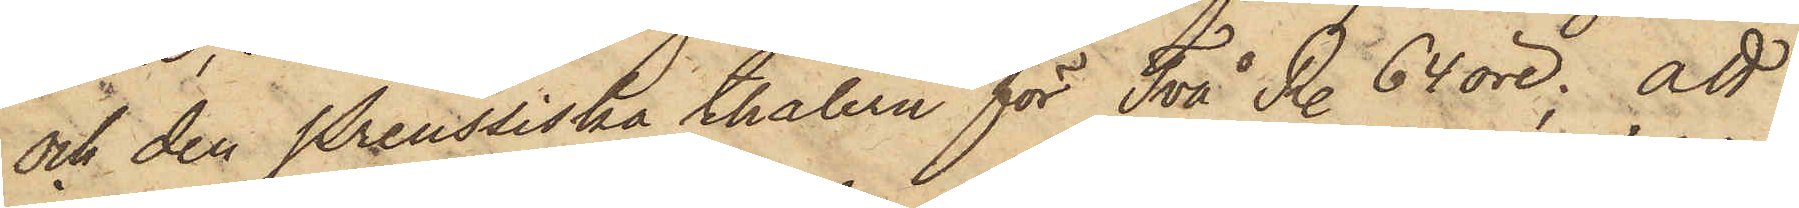och den Preussiska thalern för Två R. 64 öre; att
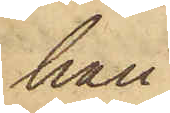han
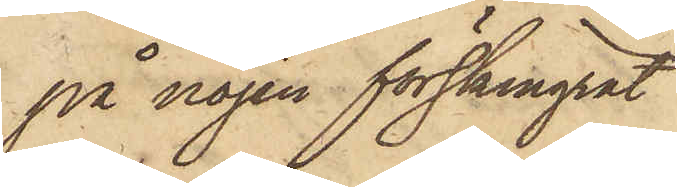på nöjen förskingrat
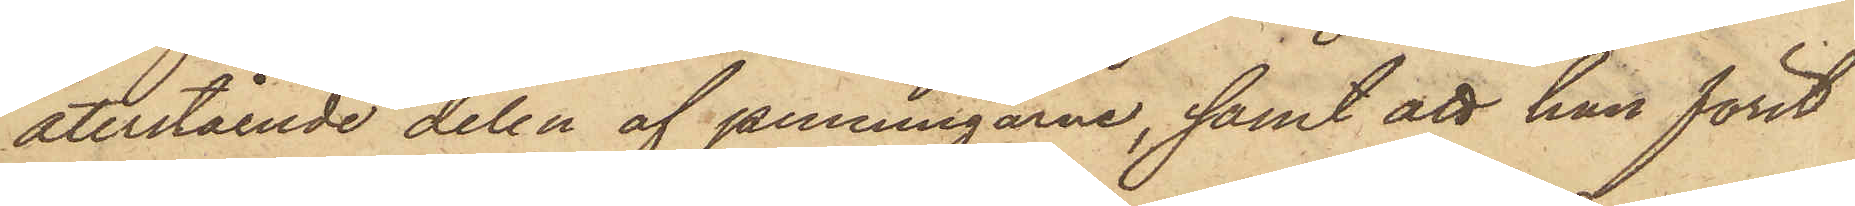återstående delen af penningarne, samt att han förut
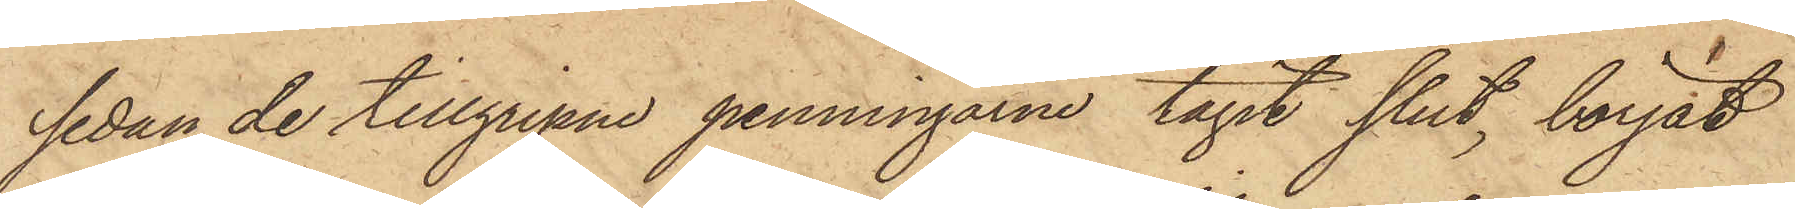sedan de tillgripne penningarne tagit slut, börjat
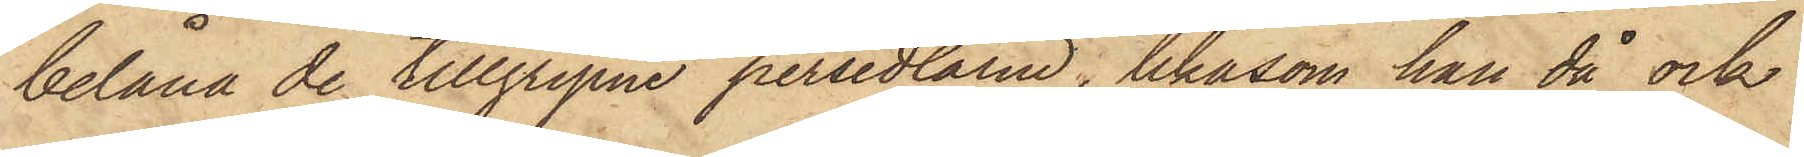belåna de tillgripne persedlarne, likasom han då ock
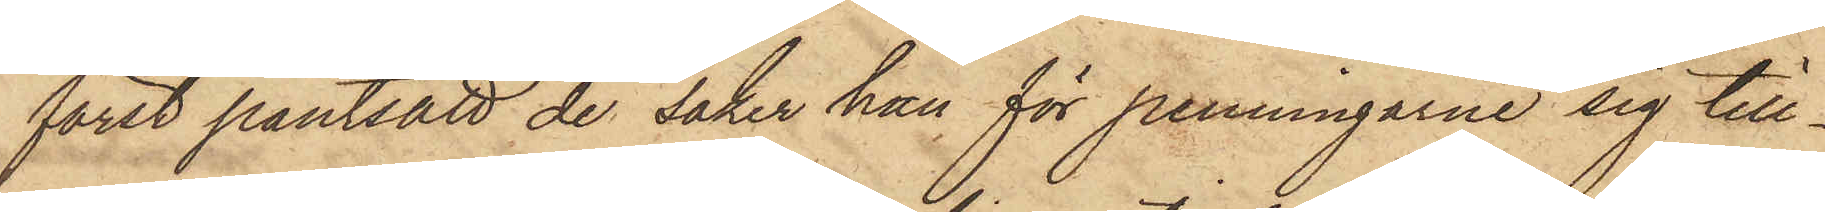först pantsatt de saker han för penningarne sig till¬
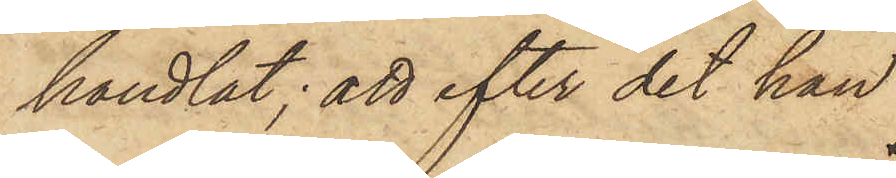handlat; att efter det han
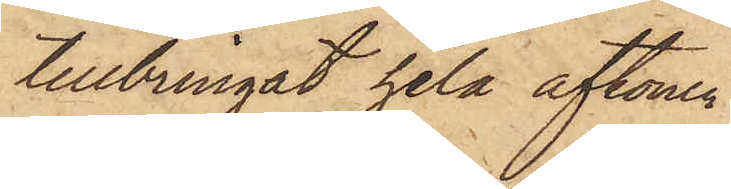tillbringat hela aftonen
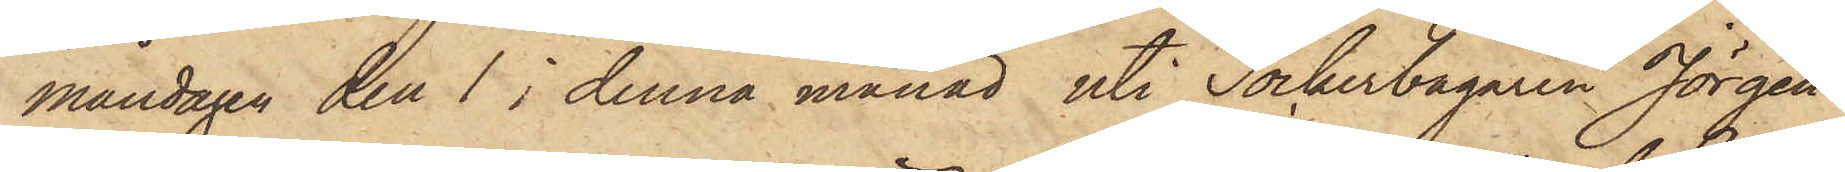måndagen den 1 i denna månad uti Sockerbagaren Jörgen¬
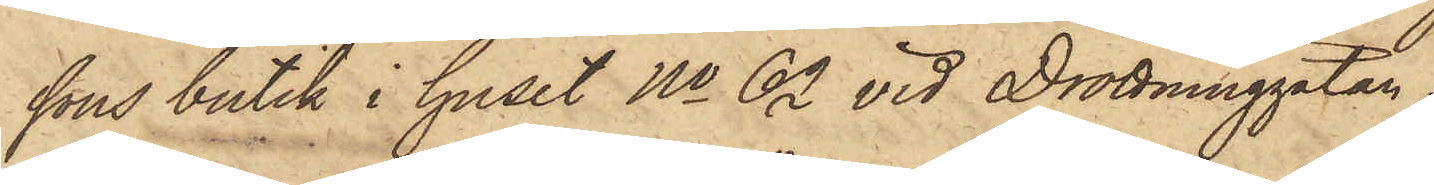sons butik i huset No 62 vid Drottninggatan
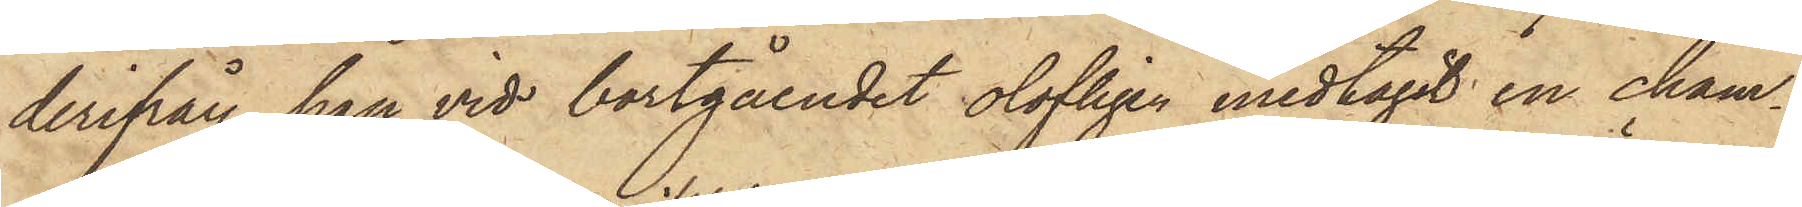derifrån han vid bortgåendet olofligen medtagit en cham¬
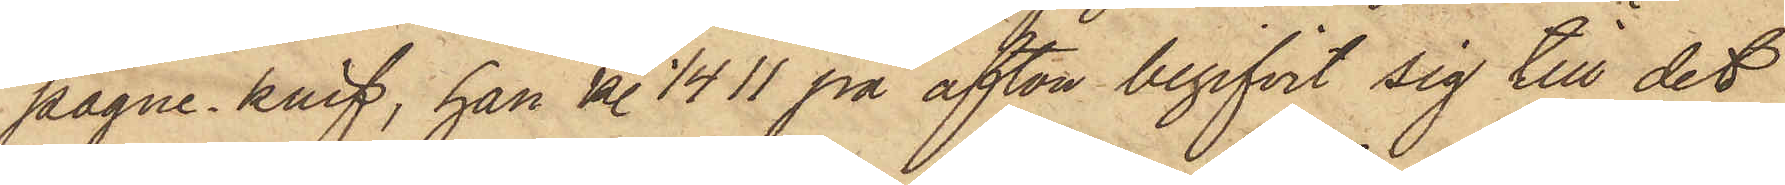pagne-knif, han kl. 1/4 11 på afton begifvit sig till det
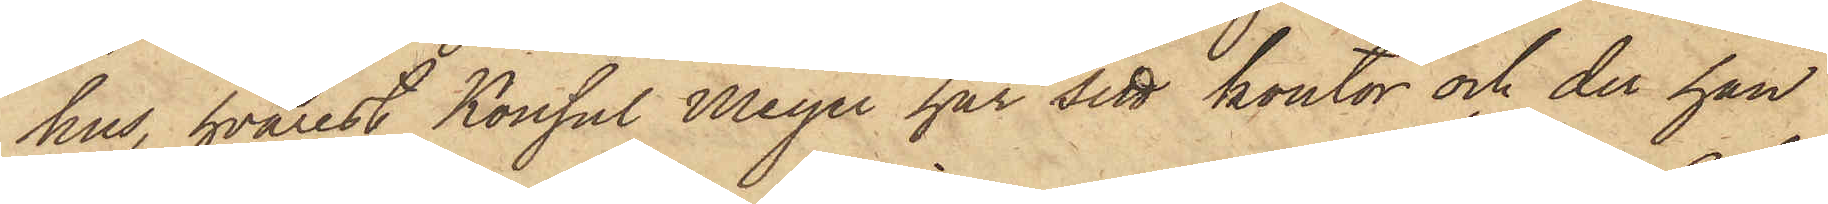hus, hvarest Konsul Meyer har sitt kontor och der han
